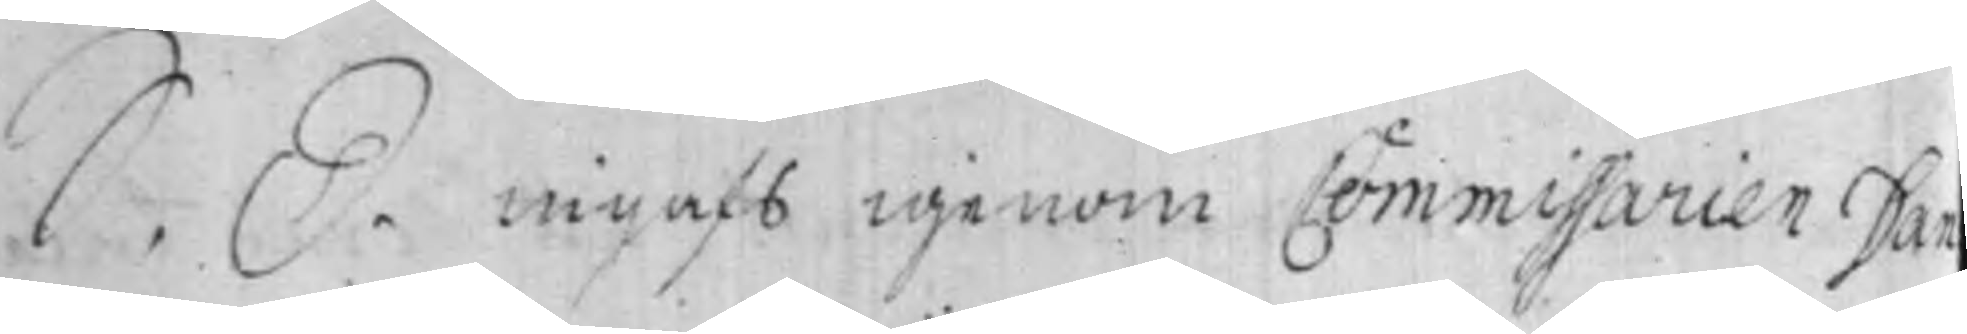S. D. ingafs igenom Commissarien Dan
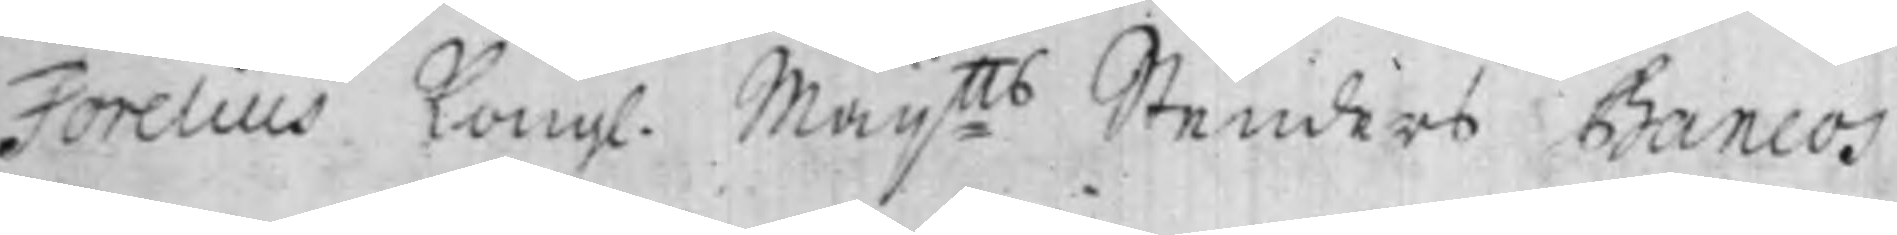Forelius Kong. Maij:tts Stenders Bancos
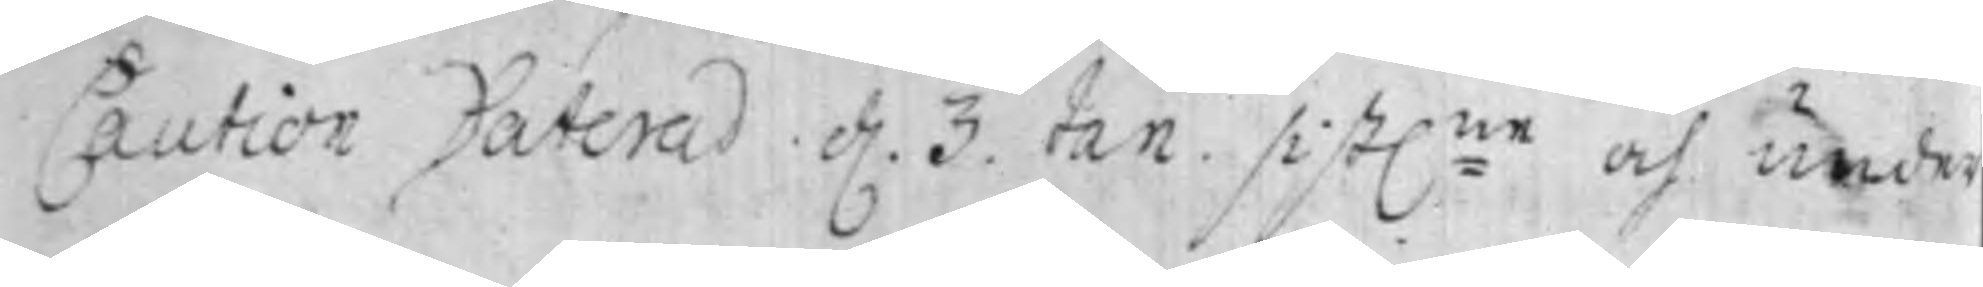Caution Daterad d. 3 Jan. sist:ne och under¬
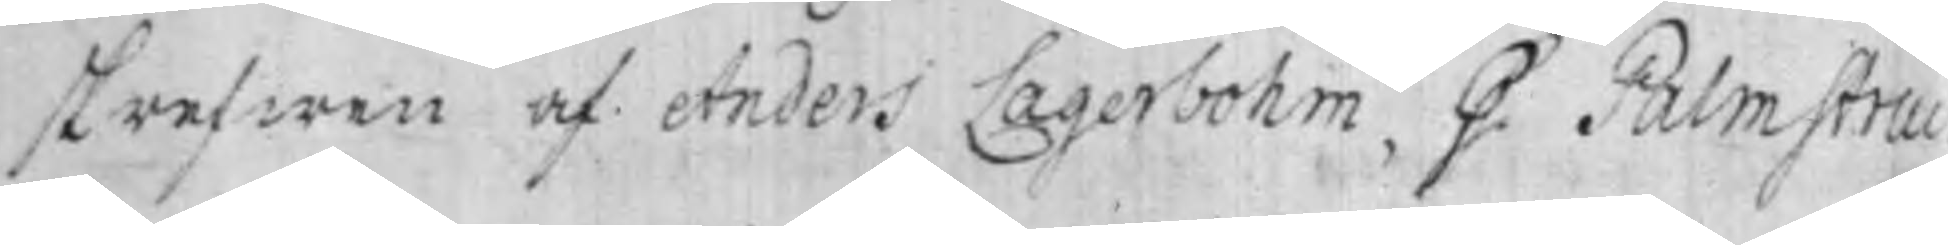skrefwen af Anders Lagerbohm, G. Palmstruc
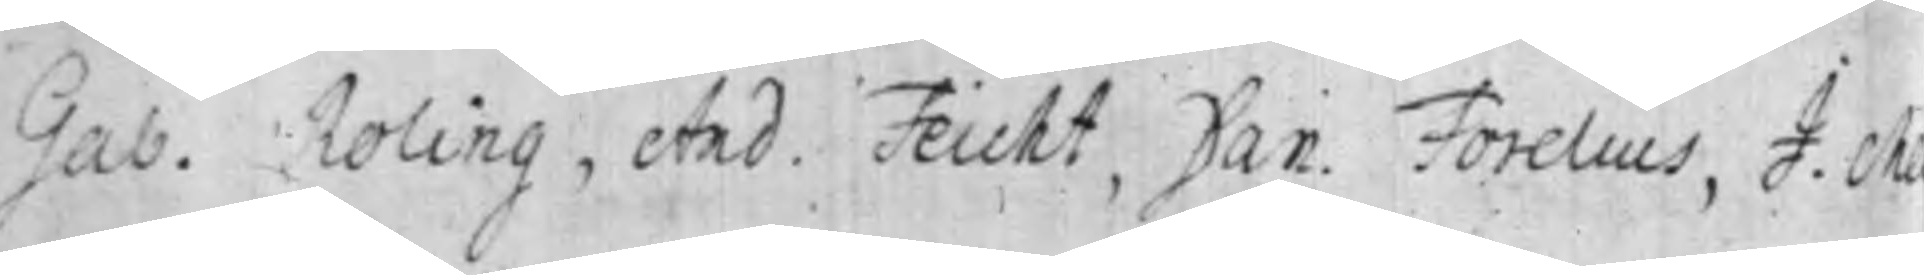Gab. Roling, And. Feuht, Dan. Forelius, J. M
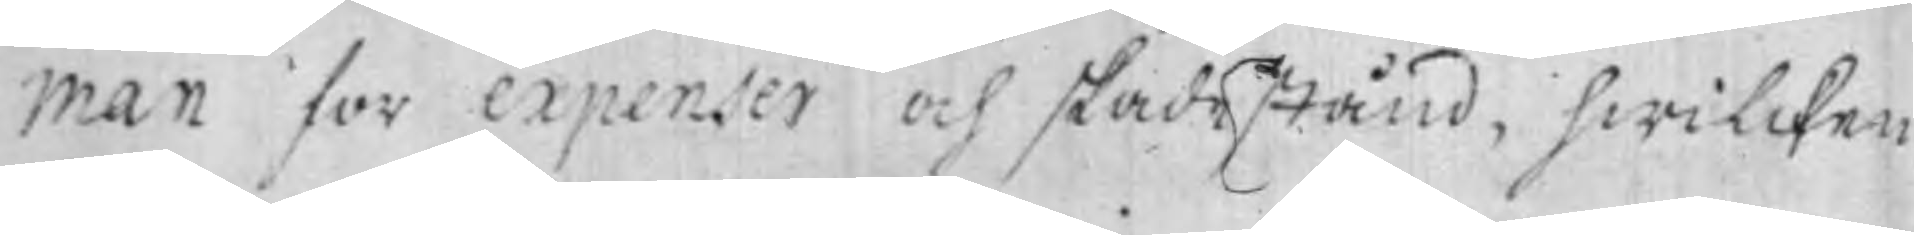man for expenser och skadestånd, hwilcken
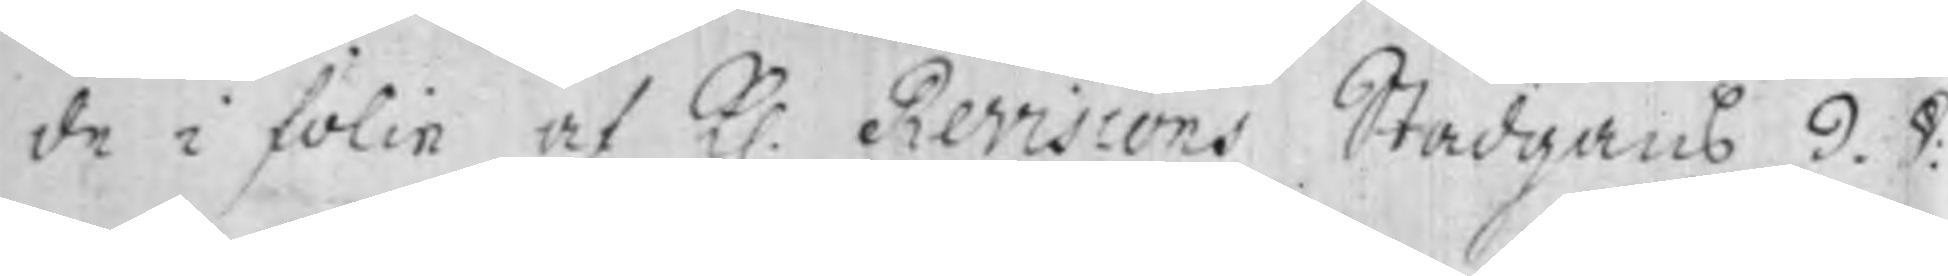de i fölie af K. Revisions Stadgans 9. P:
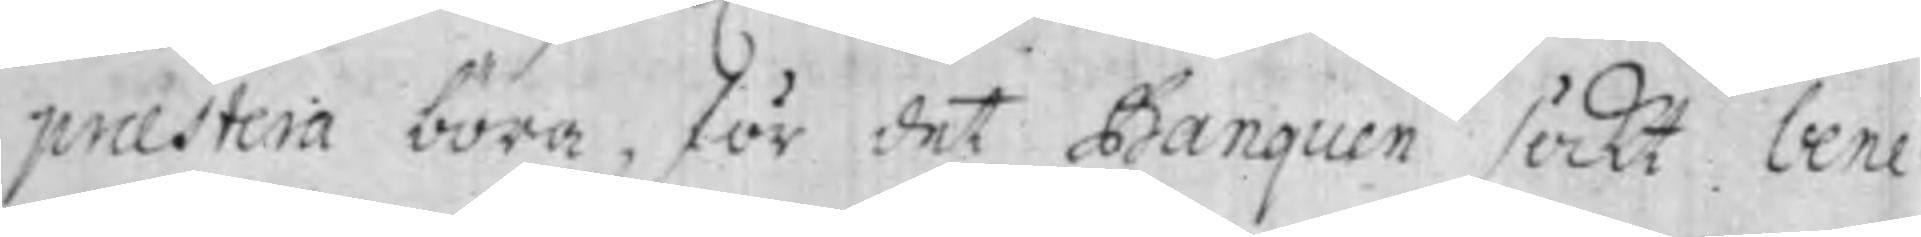praestera böra, för det Banquen söckt bene¬
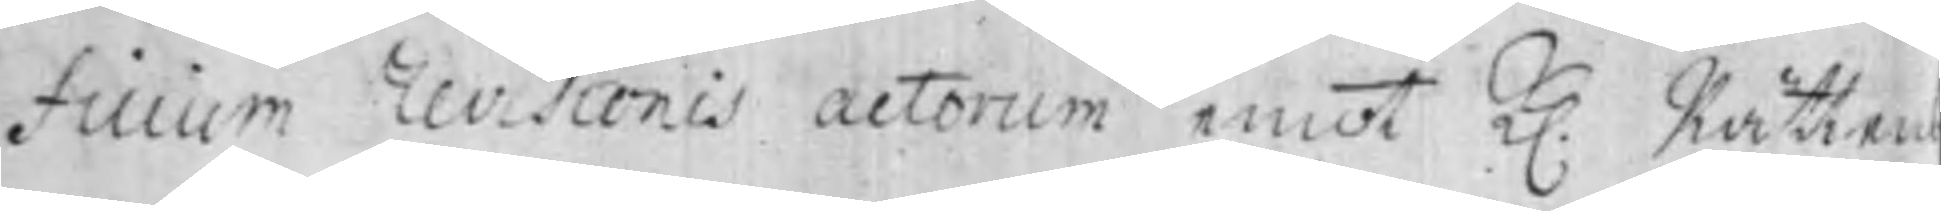ficium revisionis actorum emot K. Rättens
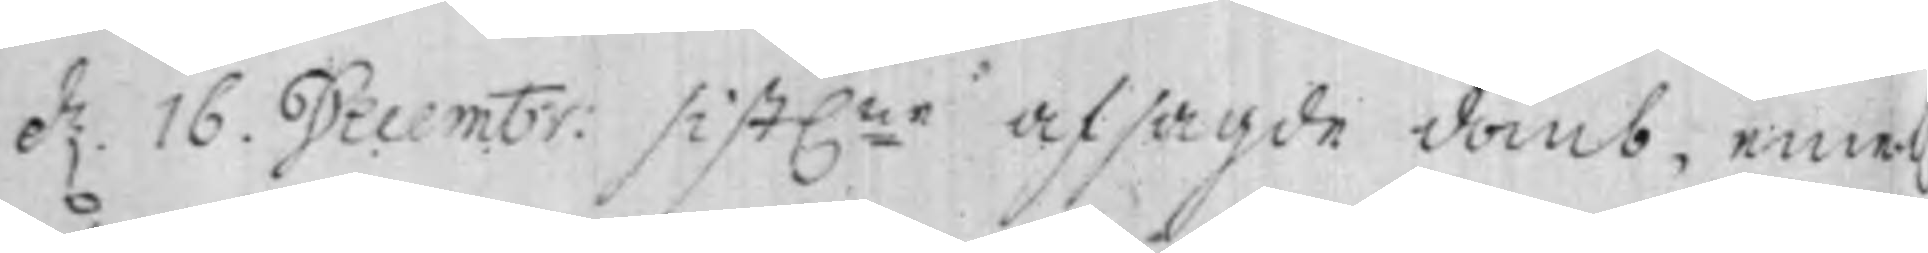d. 16. Decembr: sist:ne afsagde domb, emot
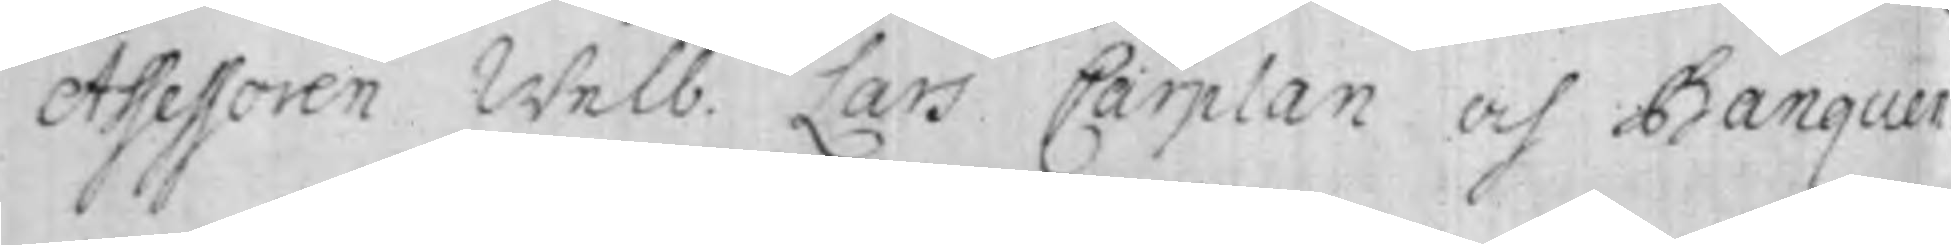Assessoren Welb. Lars Carplan och Banquen
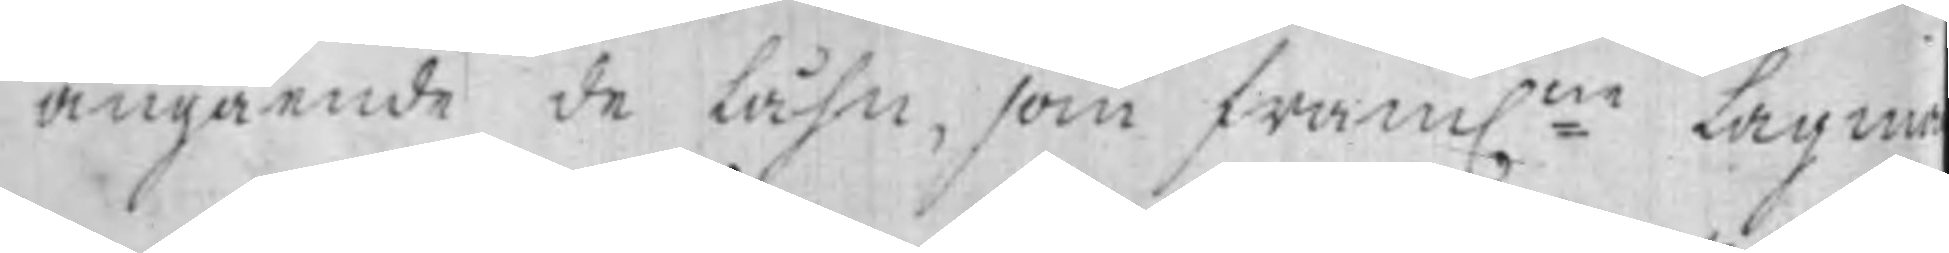angående de Låhn. som fram:ne Lagma¬
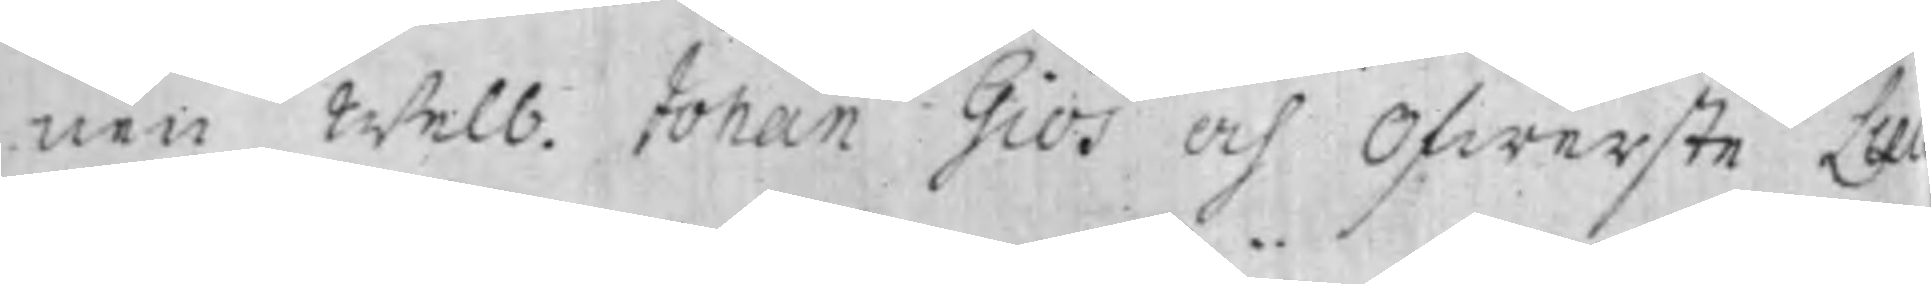nen Welb. Johan Giös och Ofwerste Leu¬
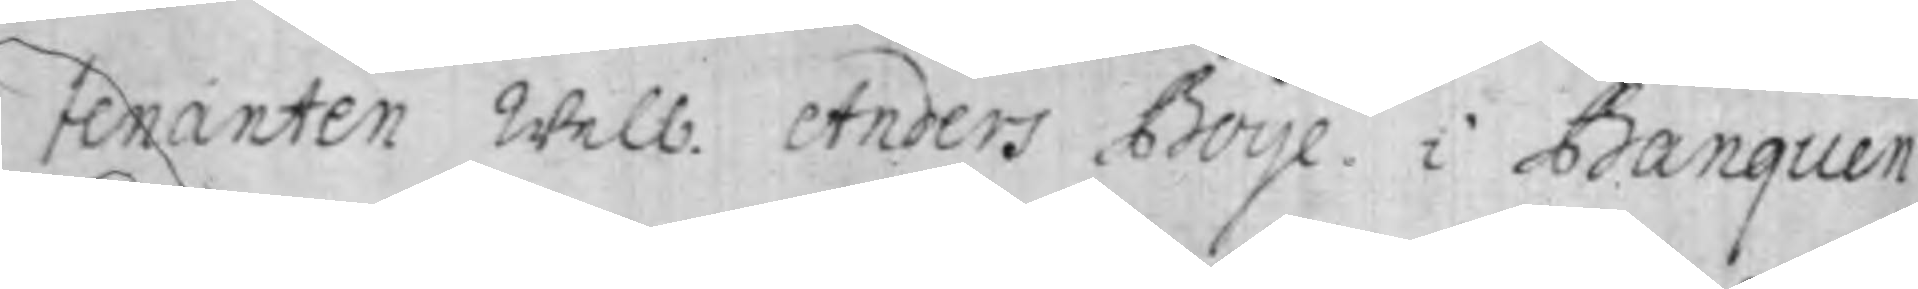tenanten Welb. Anders Boije i Banquen
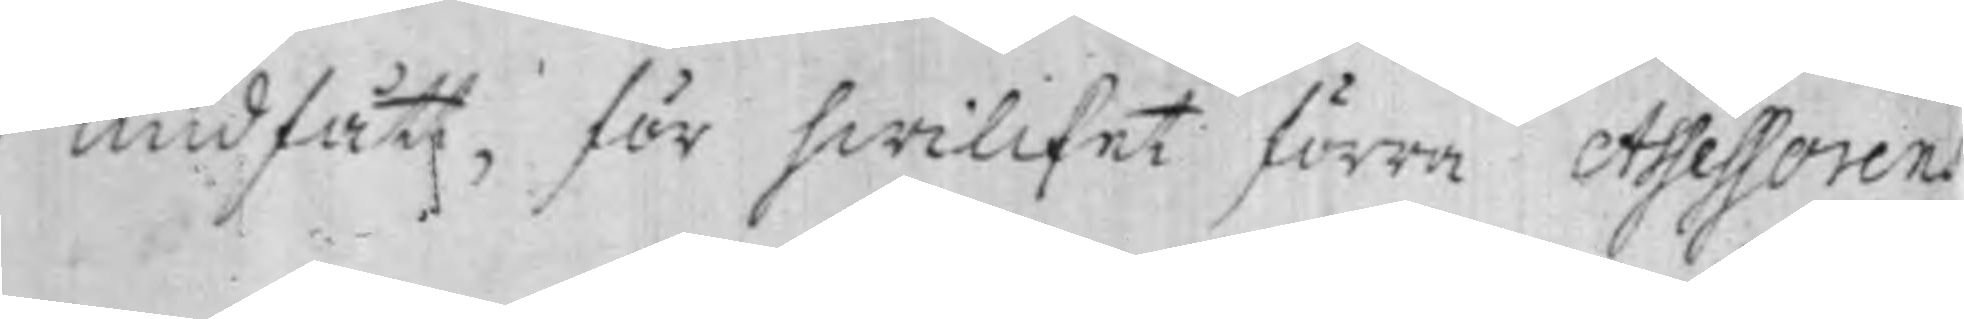undfått, för hwilcket förra Assessorens
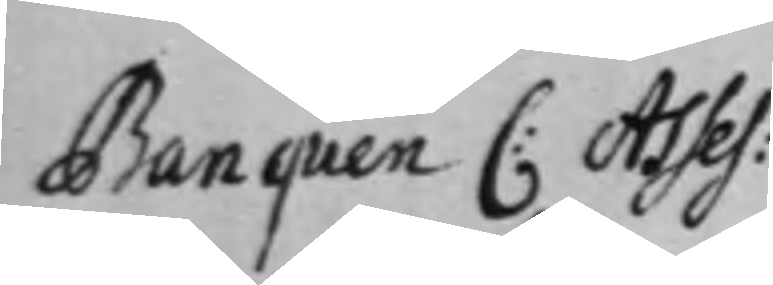Banquen C: Asses¬
